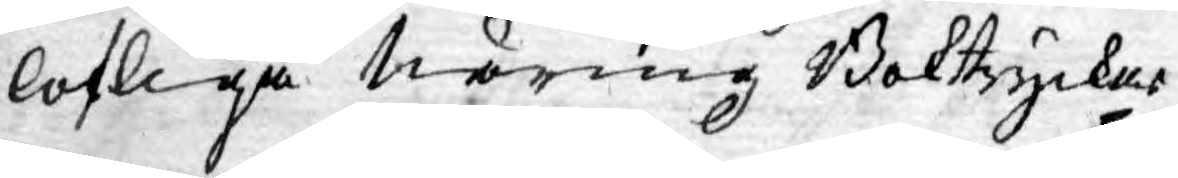lofliga näring Boktryckar¬
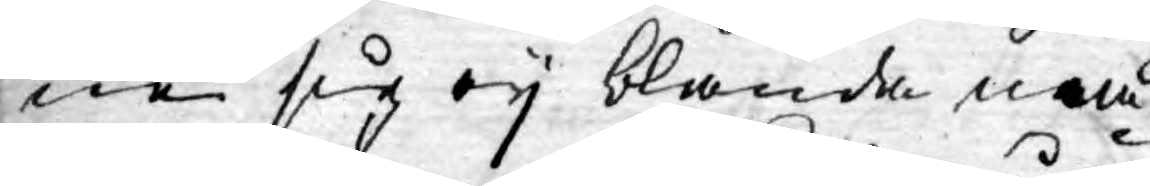ne sig ey blanda må¬
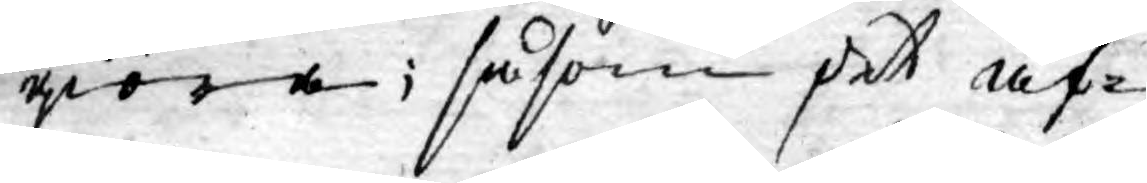giöra; såsom det äf¬
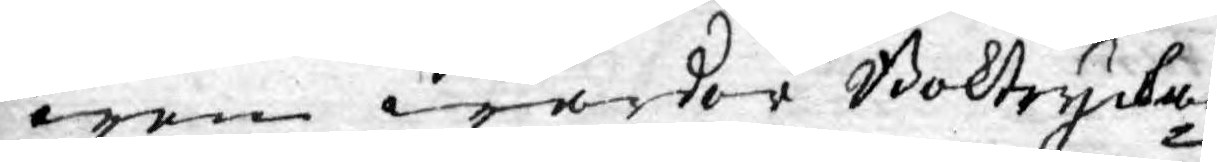wen warder Boktryckar¬
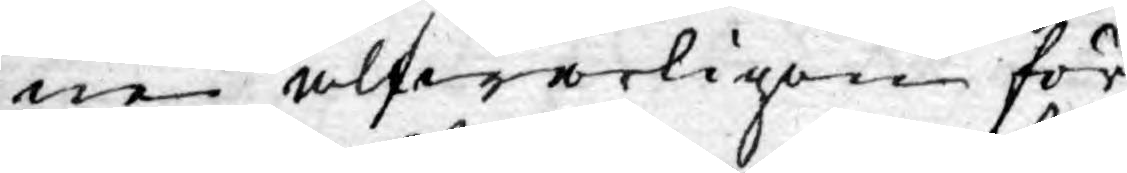ne alfwarligen för¬
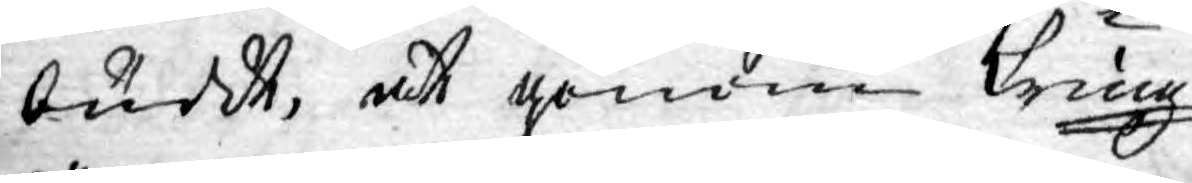buddt, at genom kring¬
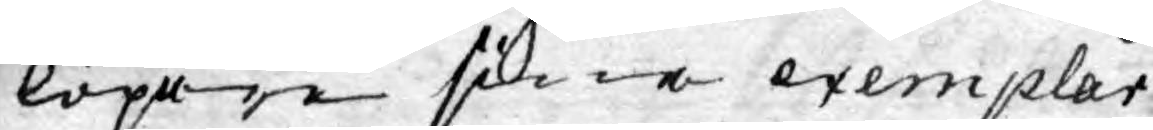löpare sine exemplar
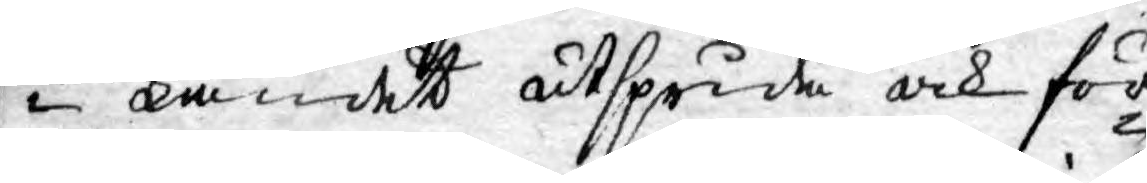in landet utsprida och för¬
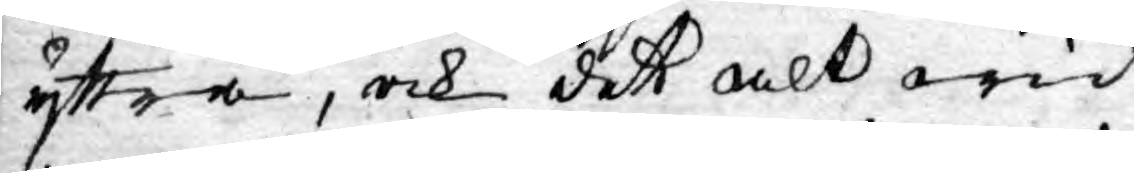yttra, ock det alt wid
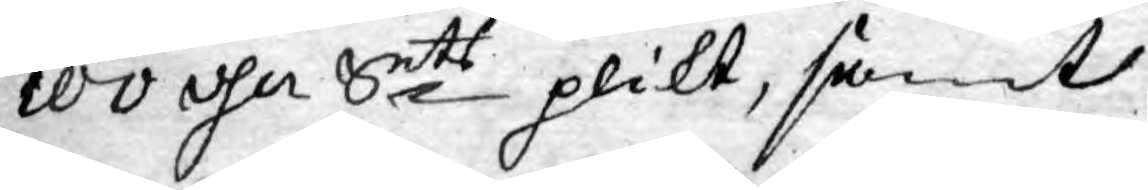100 dlr Smts plikt, samt
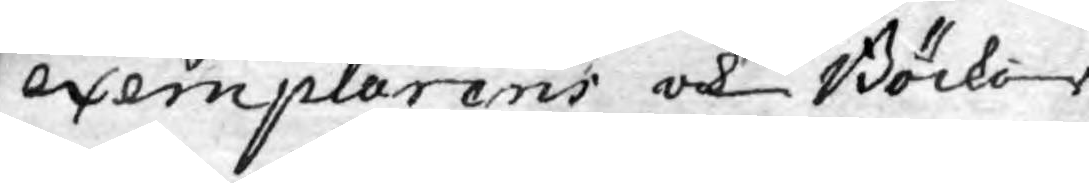exemplarens och Böcker¬
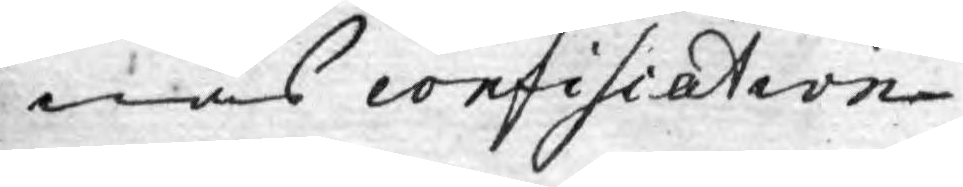nas confiscation.
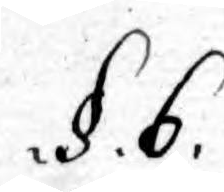.§. 6.
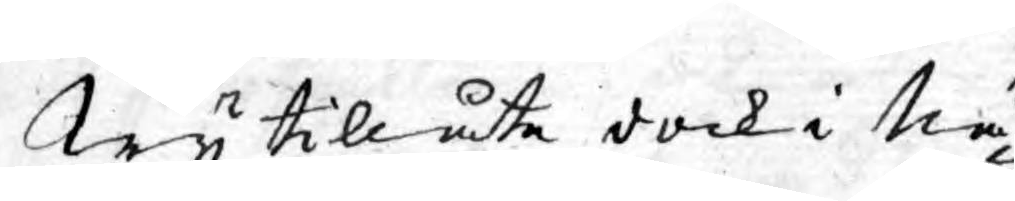Wy tillåta dock i Nå¬
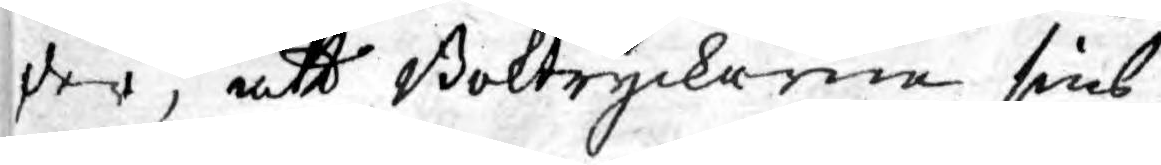der, att Boktryckarne sins
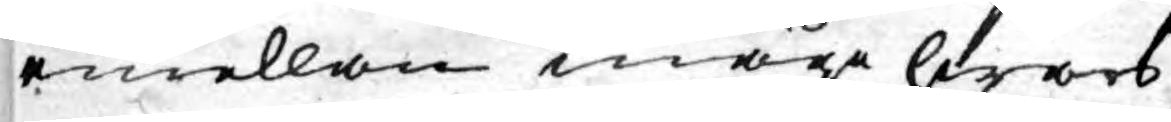emellan måge hwars
